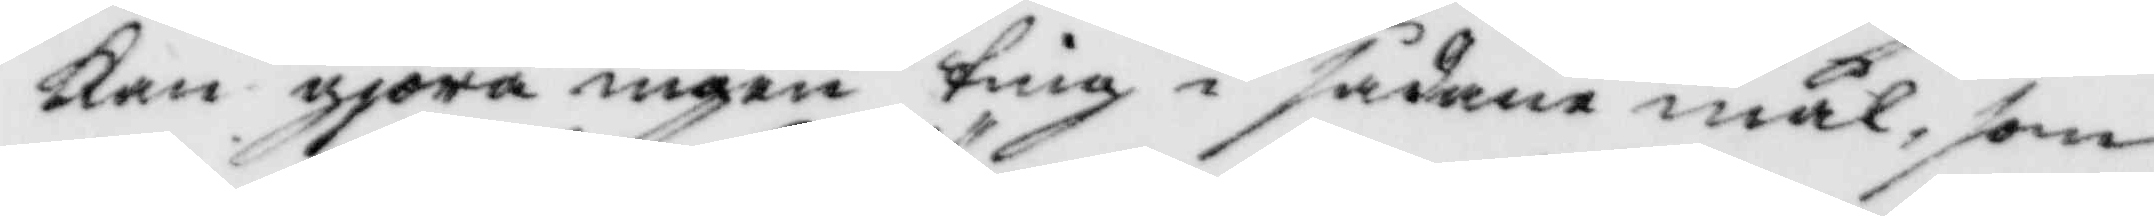Kan gjöra ingen ting i sådanamål, som
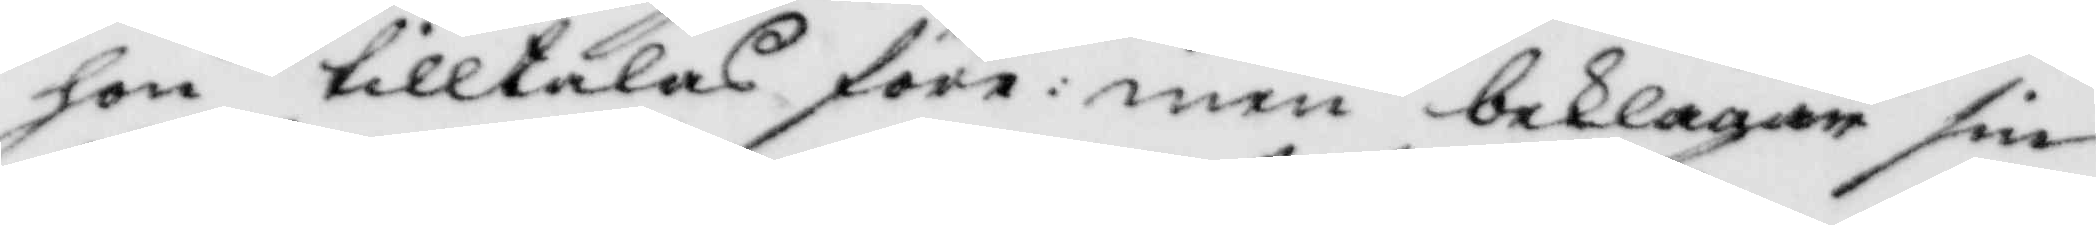hon tilltalas före: men beklagar sin
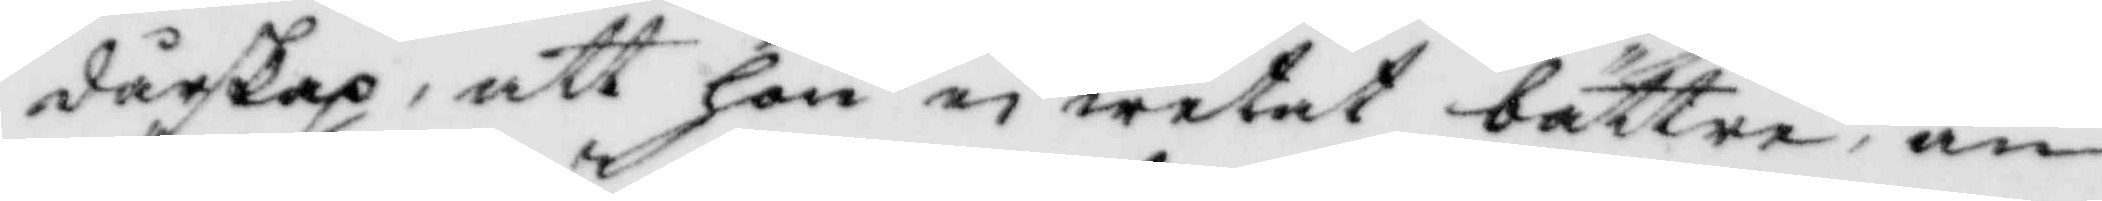dårskap, att hon ei wetat bättre, än
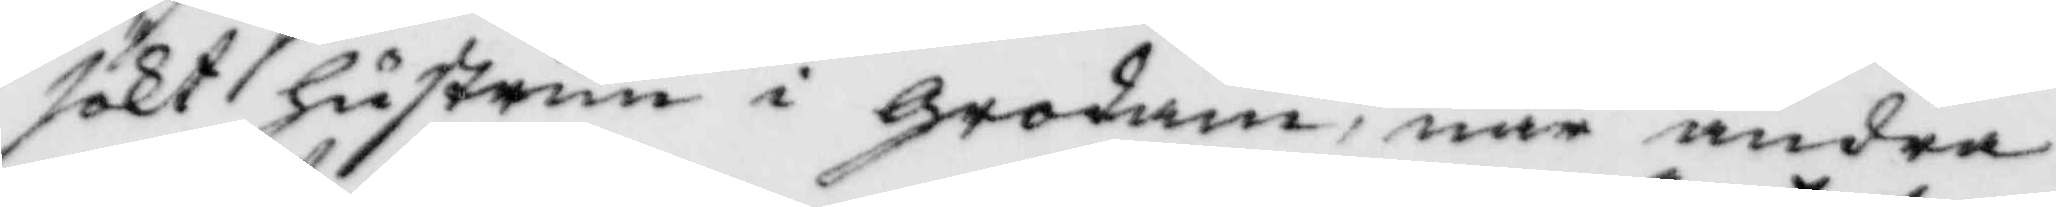sökt hustrun i grodan; när andra
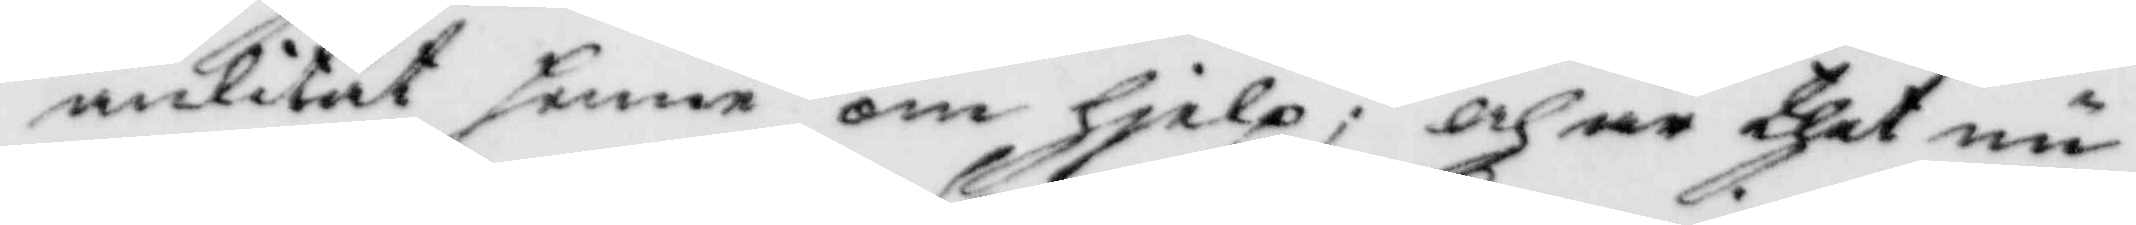anlitat samma om hielp; och är ther nu
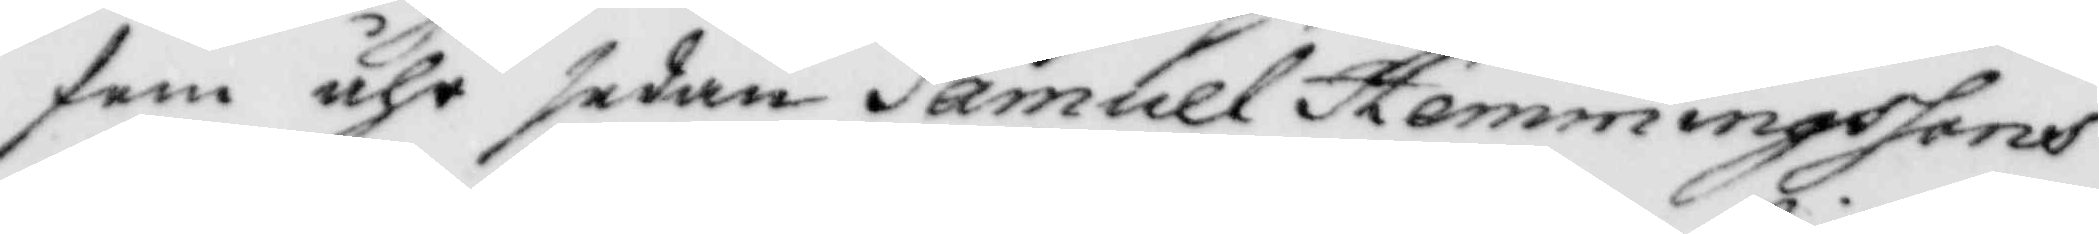fem åhr sedan Samuel hemmingssons
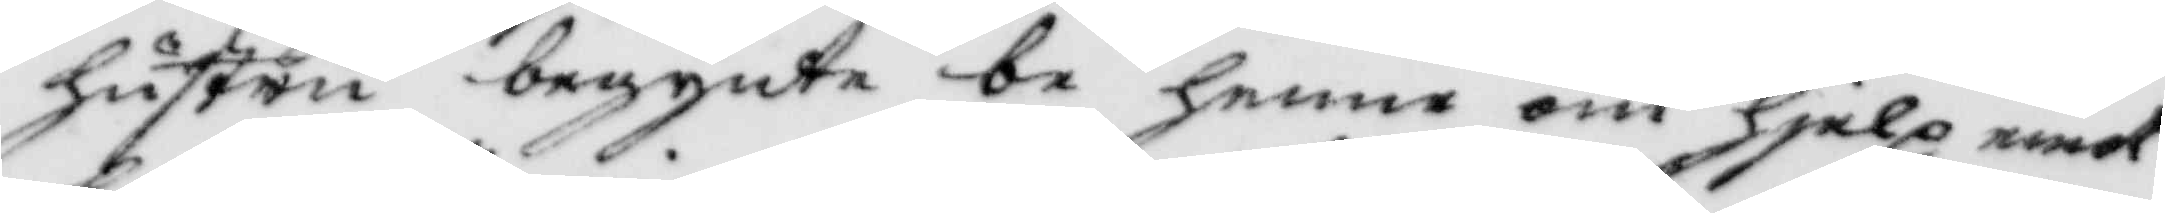hustru begynte be henne om hielp emot
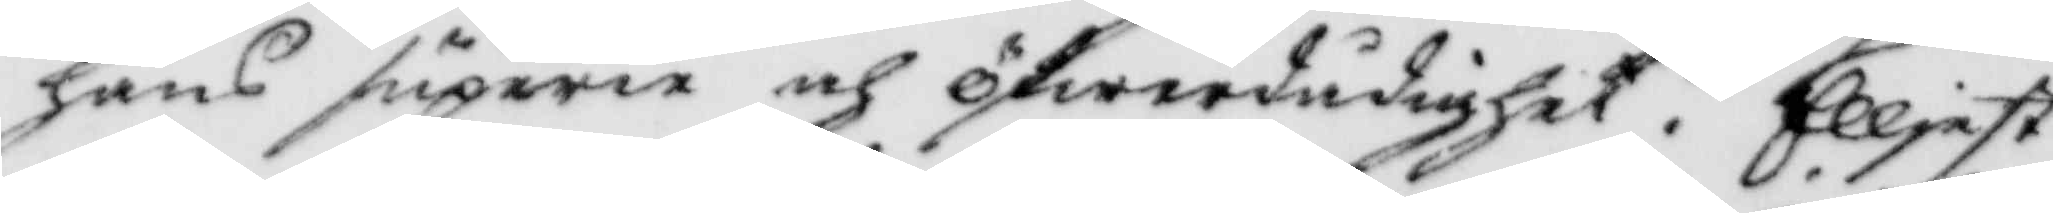hans superie och öfwerdådighet, Elljest
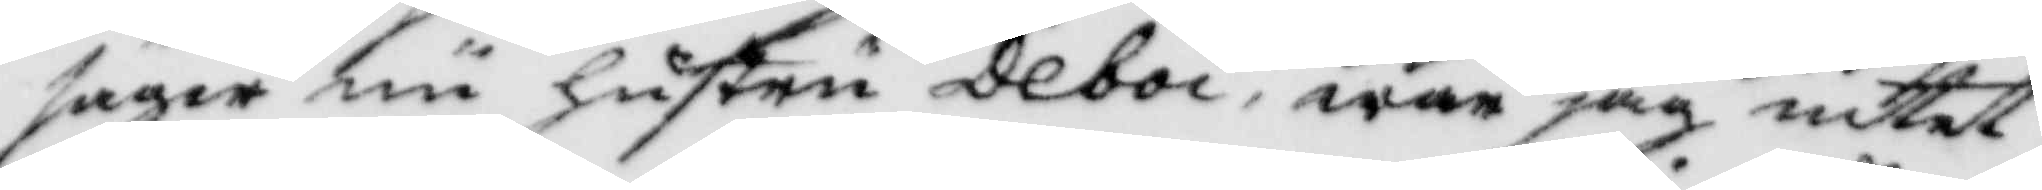säger nu hustru Deboi, war jag intet
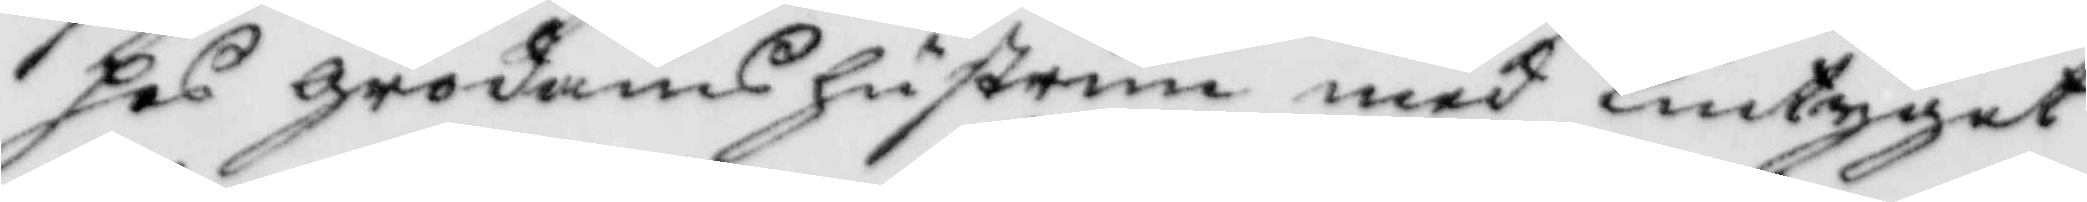hos grodans hustrun med Lintyget
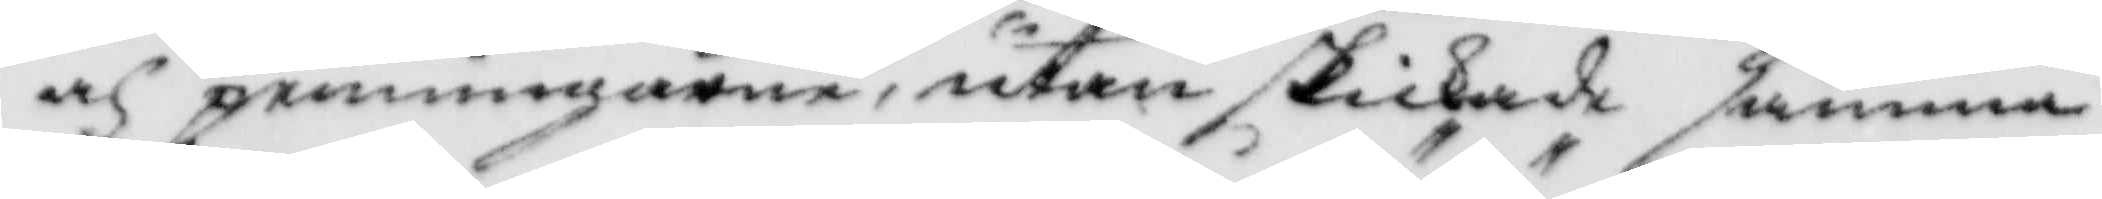och penningarne, utan skickade samma
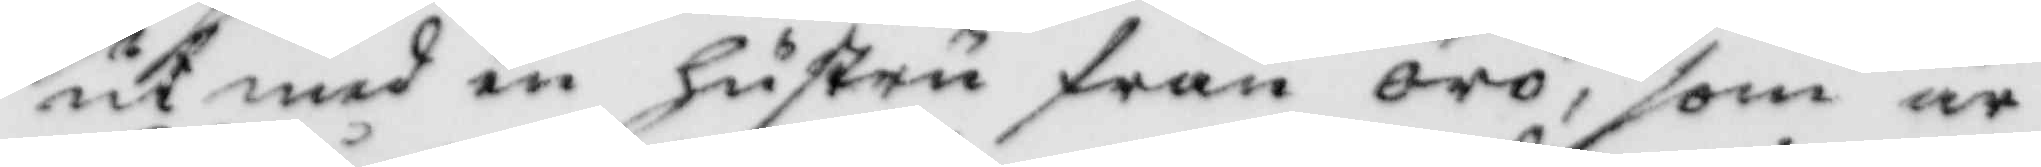ut med en hustru från örö, som är
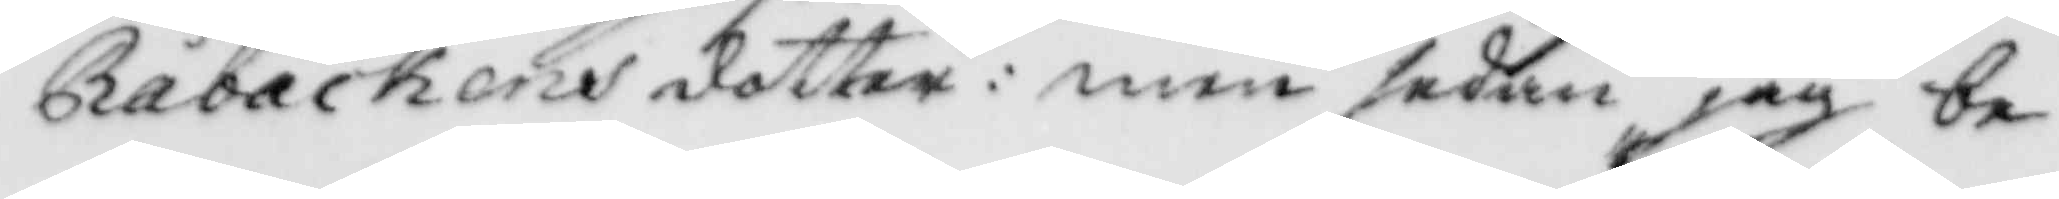Råbåckens dotter: men sedan jag be¬
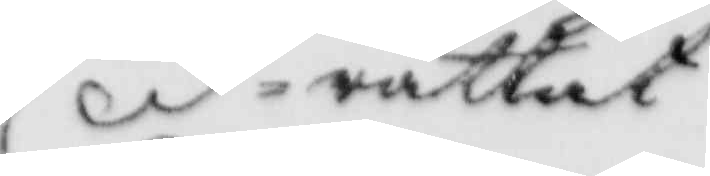rättat
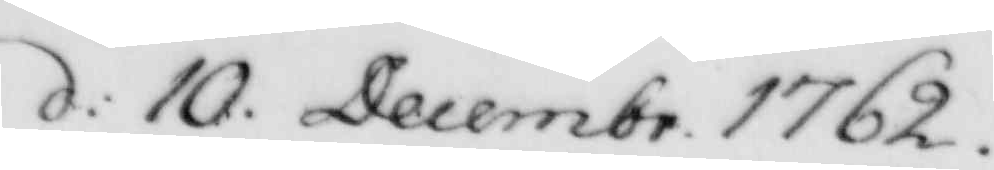d: 10. Decembr. 1762.
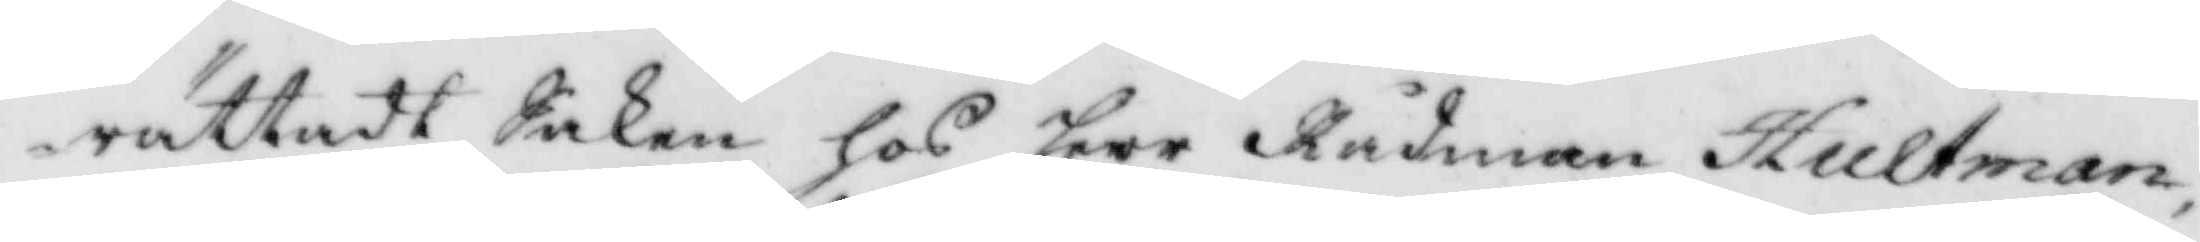rättadt Saken hos herr Rådman Hultman,
